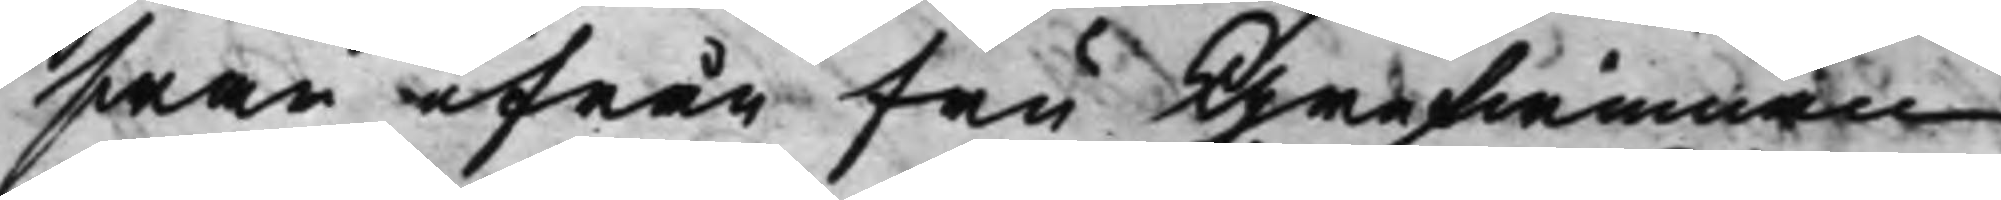swar ifrån Fru Grefwinnan
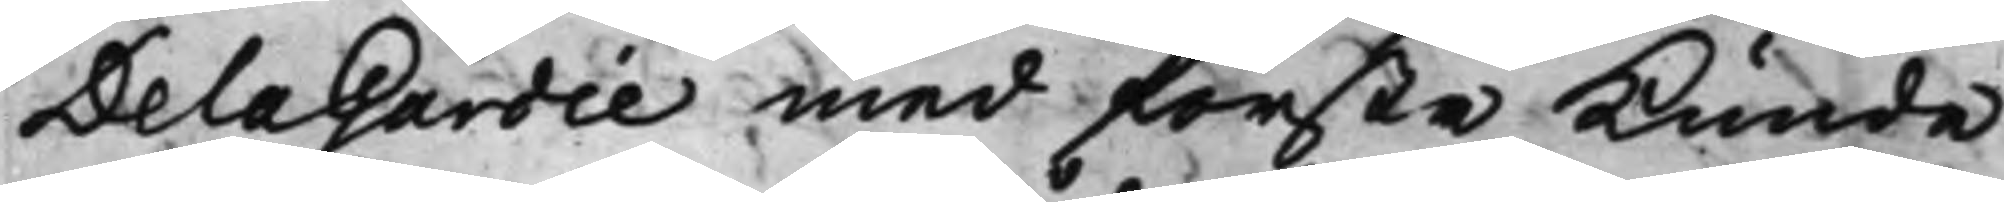De la Gardie med första Kunde
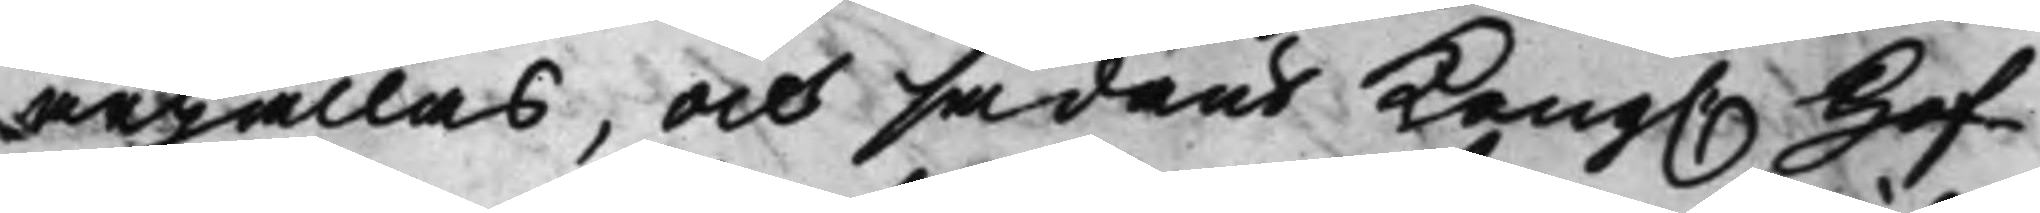ärhållas, och sådant Kong. Hof¬
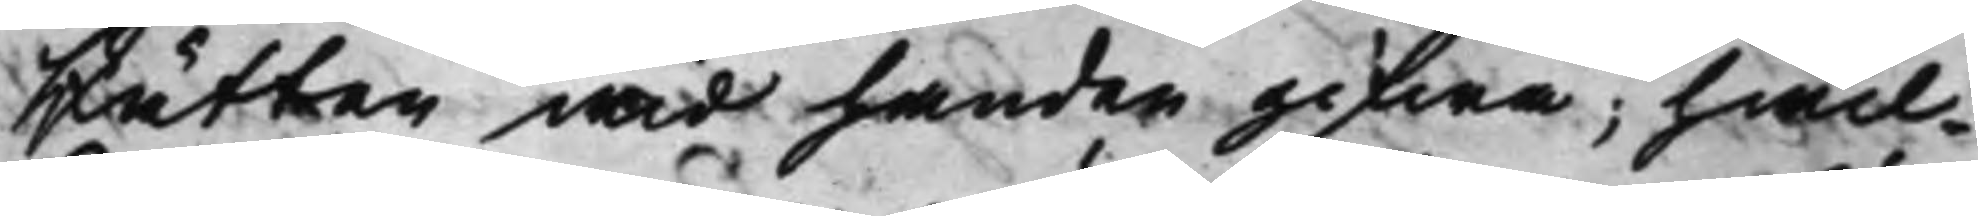Rätten wid handen gifwa; hwil¬
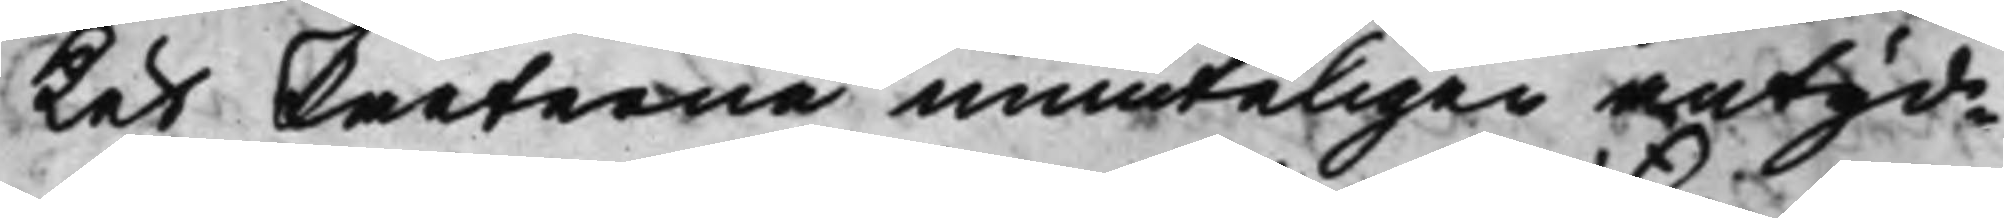ket Parterne munteligen antyd¬
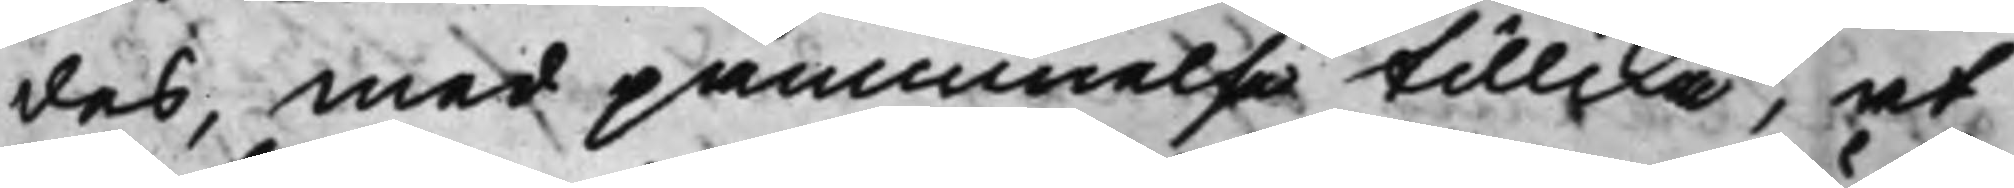des, med påminnelse tillika, at
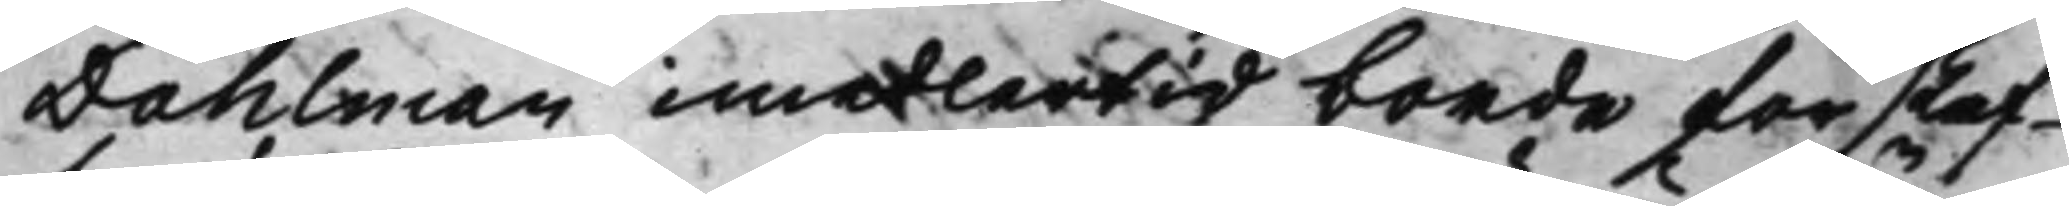Dahlman imedlertid borde förskaf¬
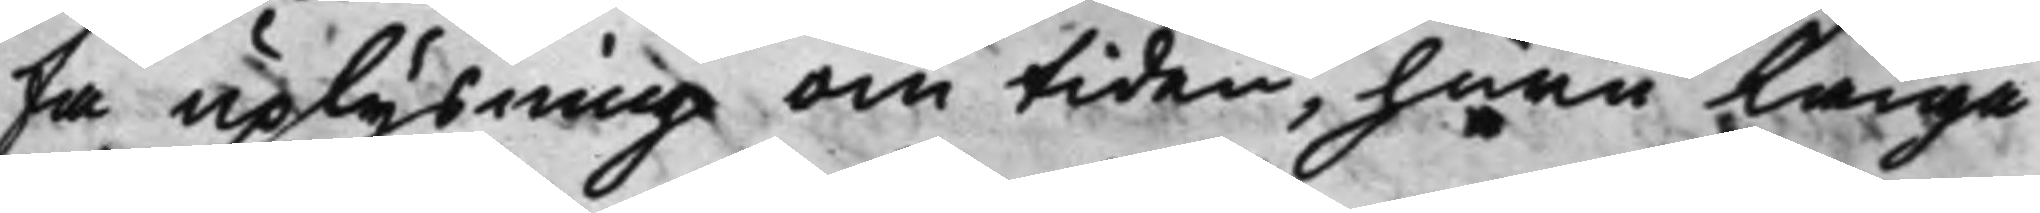fa uplysning om tiden, huru länge
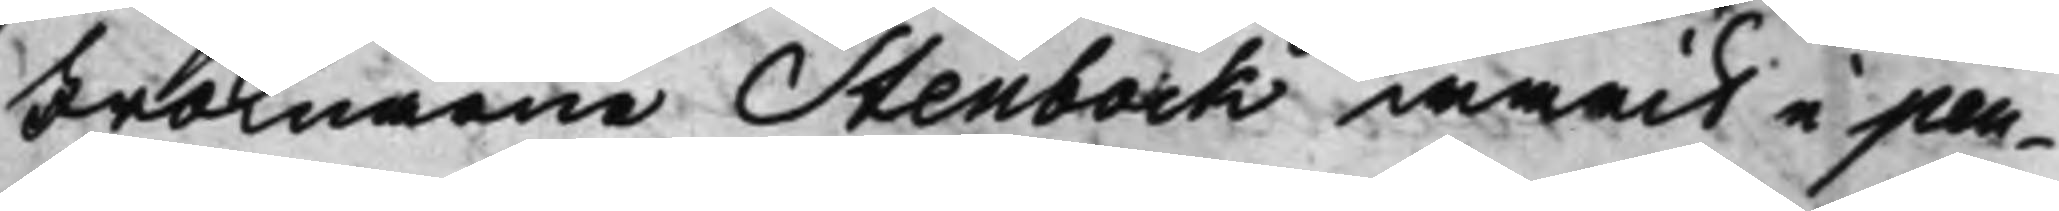Fröknarne Stenbock warit i pen¬
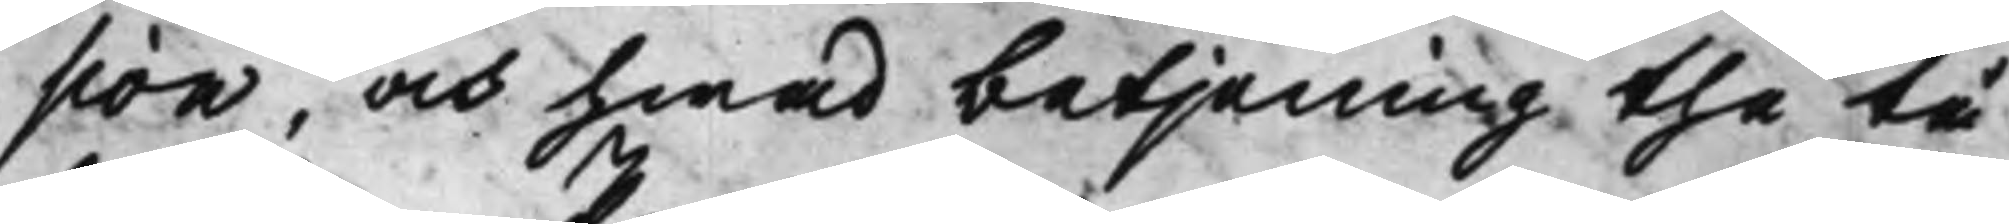sion, och hwad betjening the tå
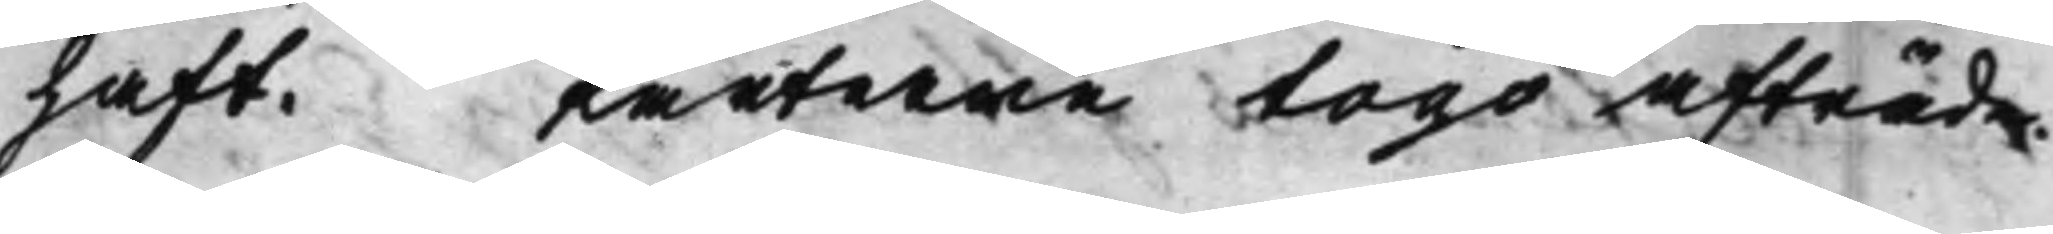haft. Parterne togo afträde.
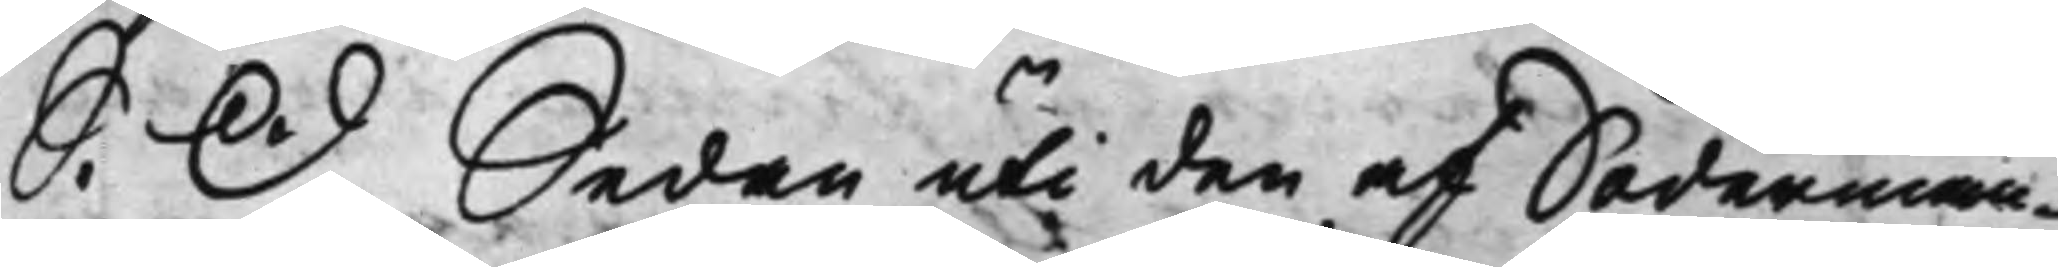S. D. Sedan uti den af Söderman¬
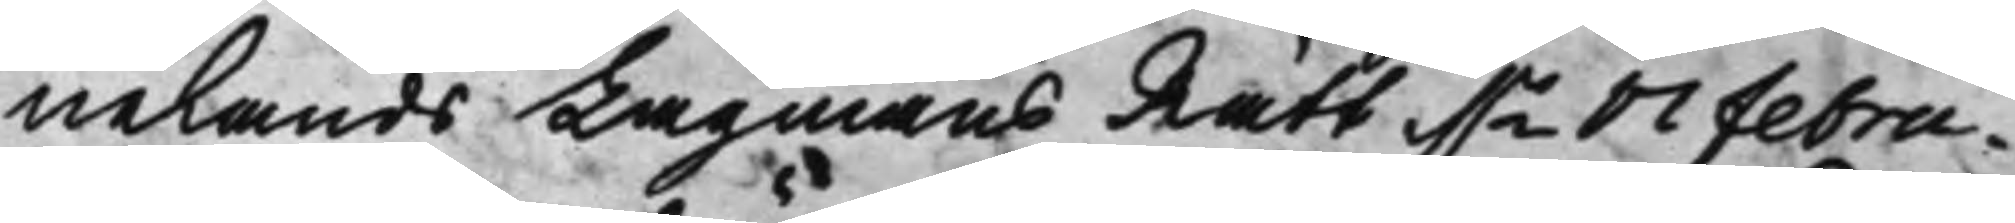nelands Lagmans Rätt d.n 17 febru¬
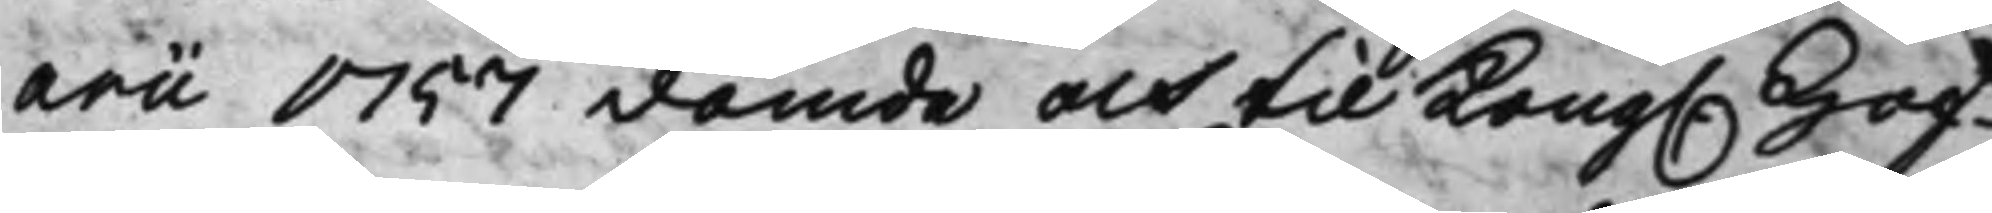arii 1757 dömde och til Kong. Hof¬
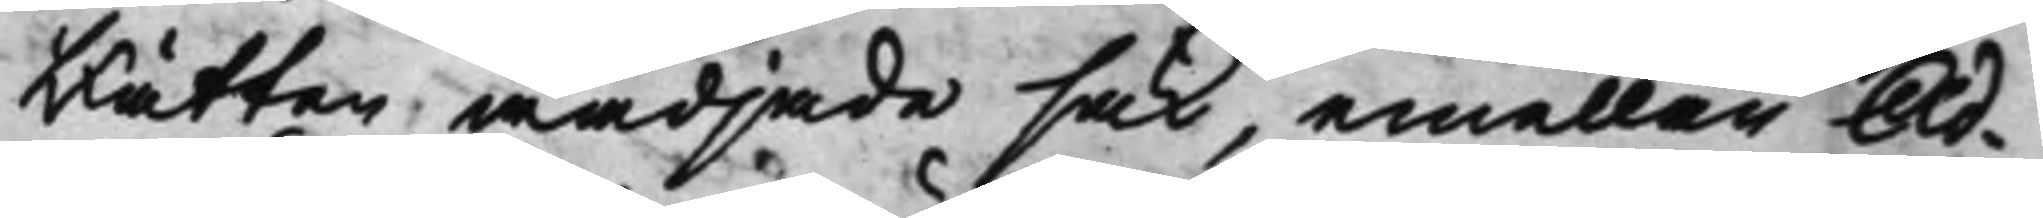Rätten wädjade sak, emellan Ad¬
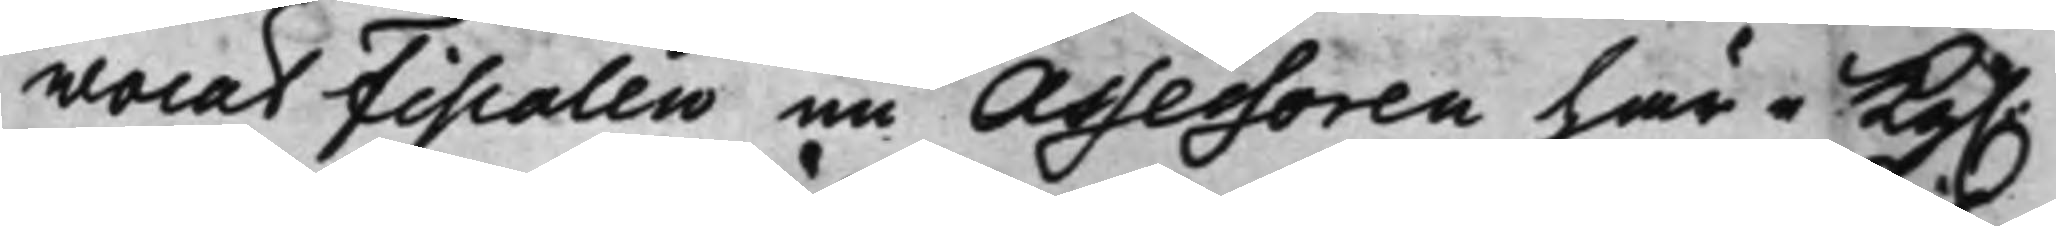wocat Fiscalen nu Assessoren här i Kg.
